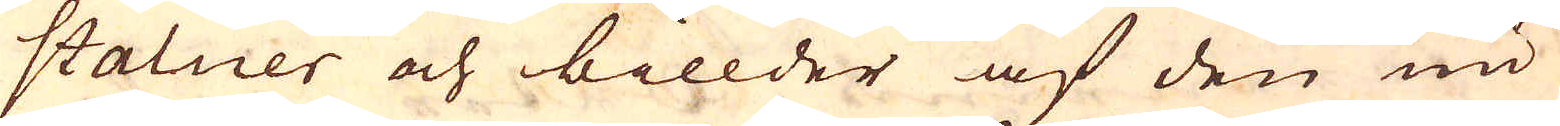statuer och billder af den nu
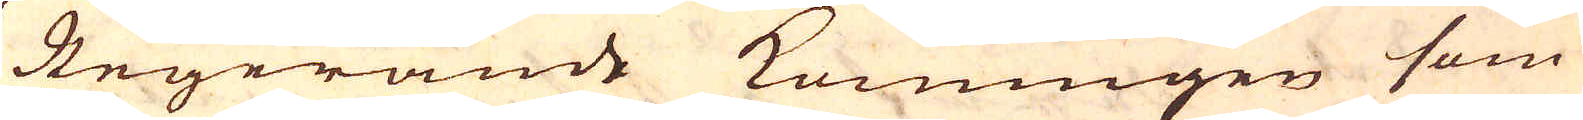Regerande Konungen som
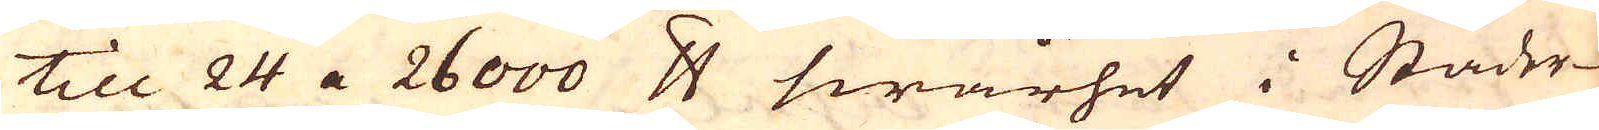till 24 a 26000 skålpund swårhet i Städer-
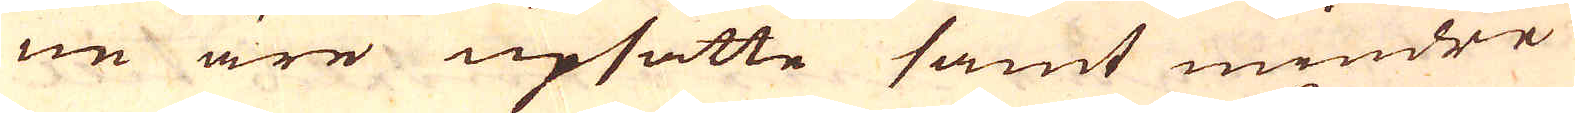ne äre upsatte samt mindre
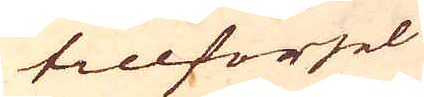tillförsel
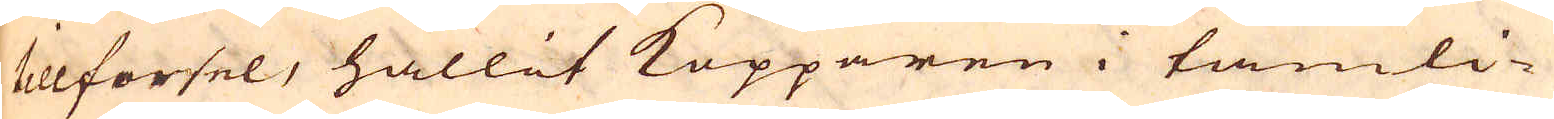tillförsel, hållit Kopparen i tämli-
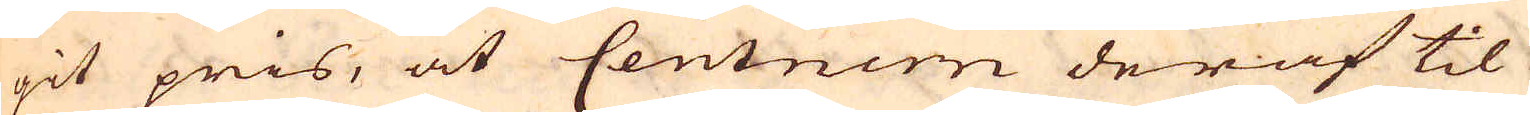git pris, at Centnern deraf til
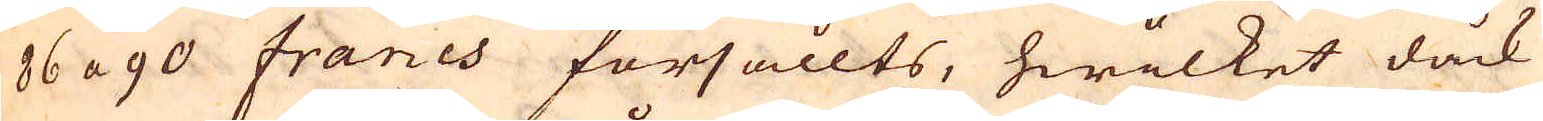86 a 90 francs försållts, hwilket dåck
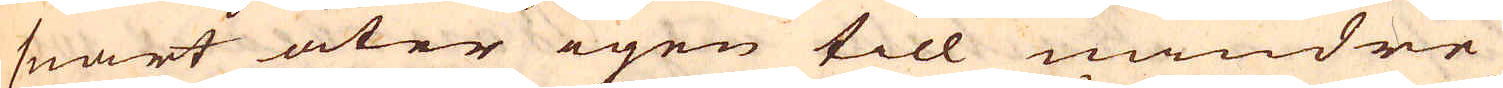snart åter igen till mindre
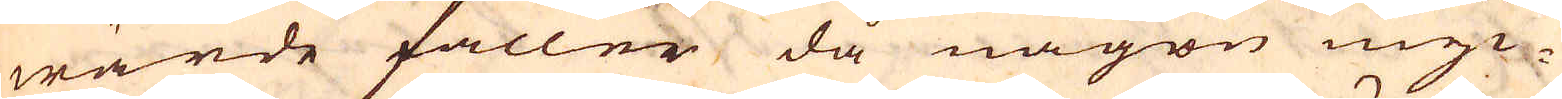wärde faller då någon myc-
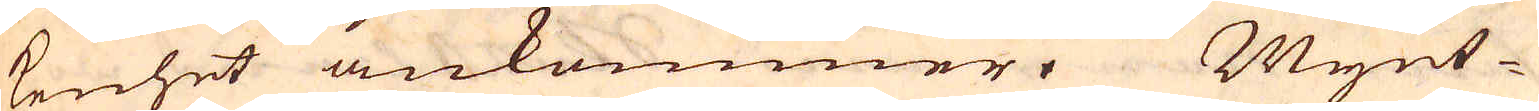kenhet ankommer. Mynt-
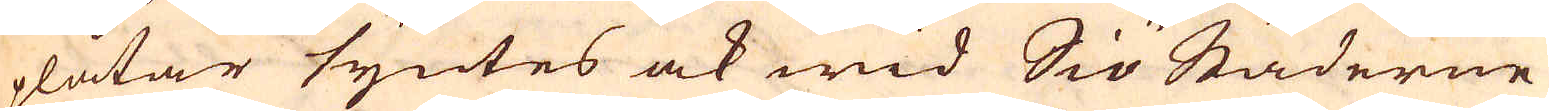plåtar syntes ock wid SiöStäderne
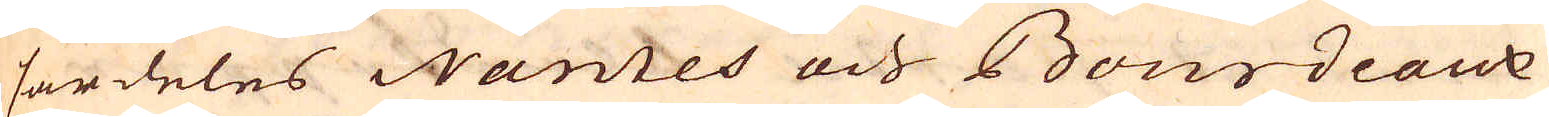särdeles Nantes och Bourdeaux
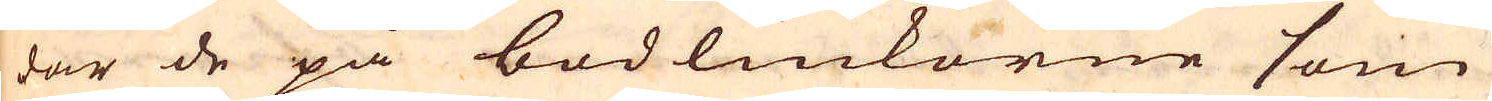där de på bodluckorne som
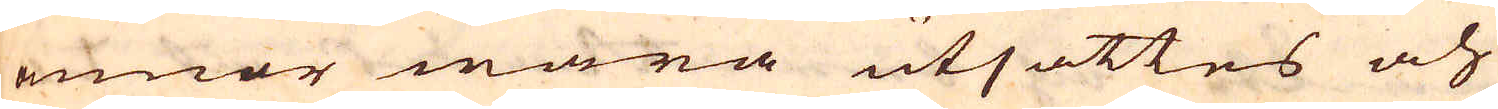annor wara utsattes och
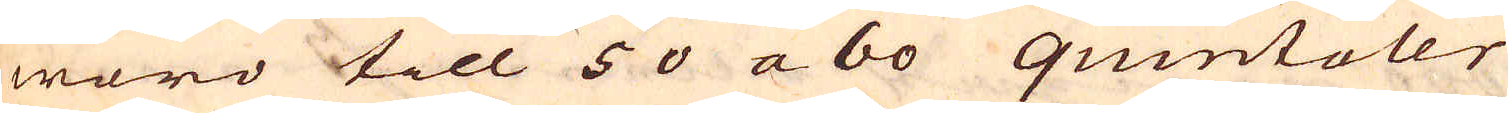woro till 50 a 60 quintaler
